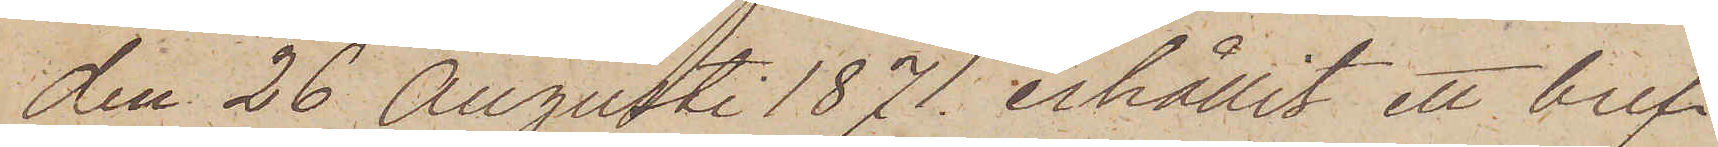den 26 Augusti 1871 erhållit ett bref
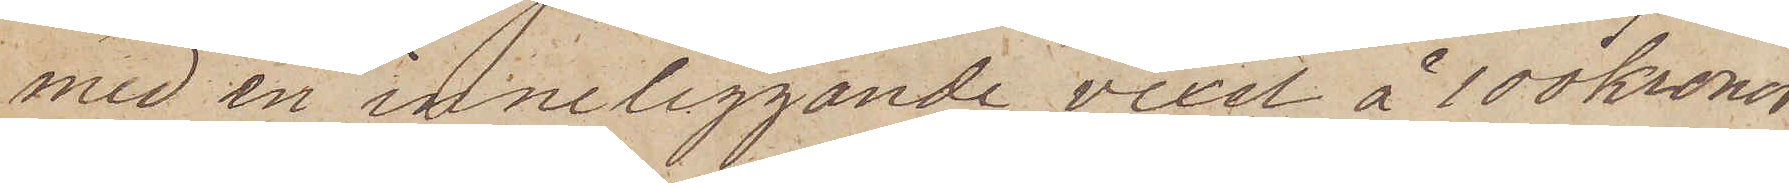med en inneliggande vexel å 100 kronor
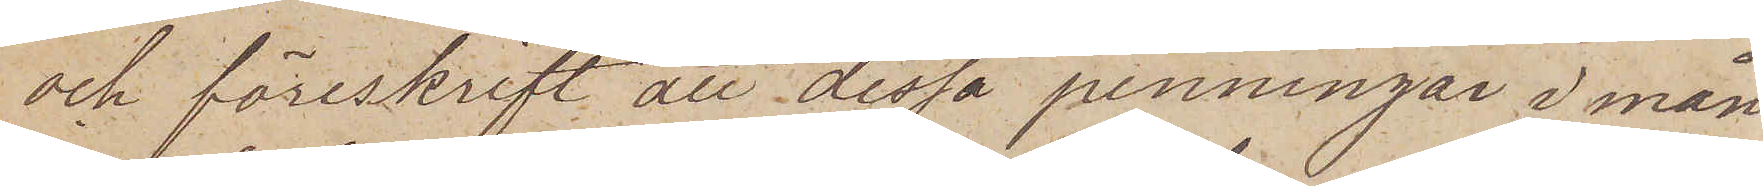och föreskrift att dessa penningar i mån
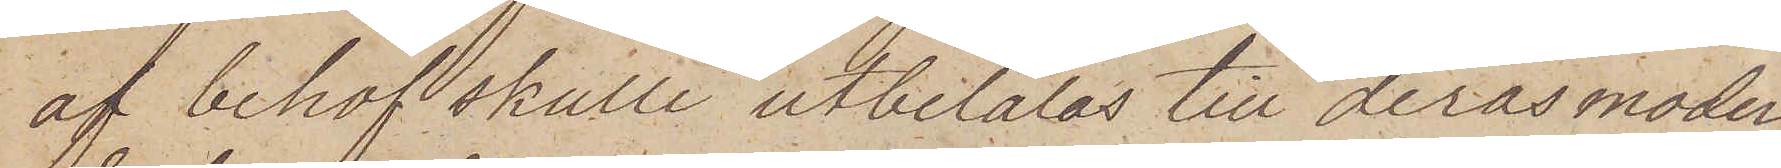af behof skulle utbetalas till deras moder
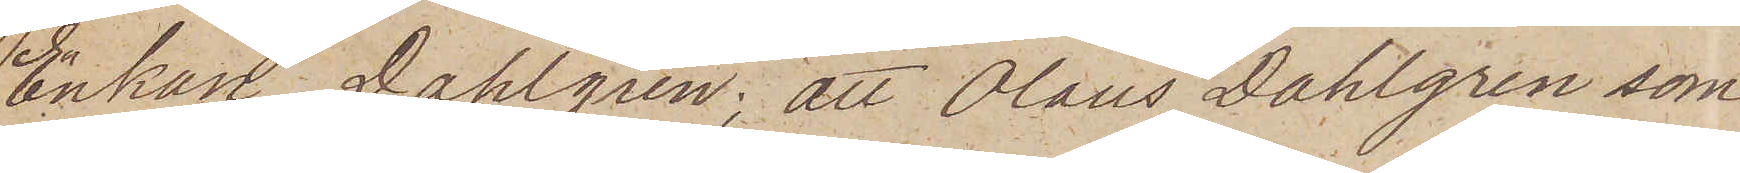Enkan Dahlgren; att Olaus Dahlgren som
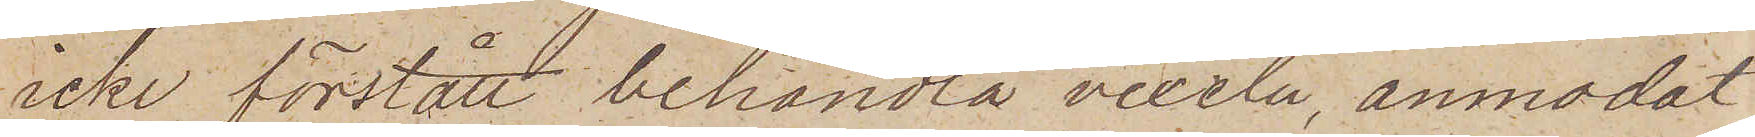icke förstått behandla vexeln, anmodat
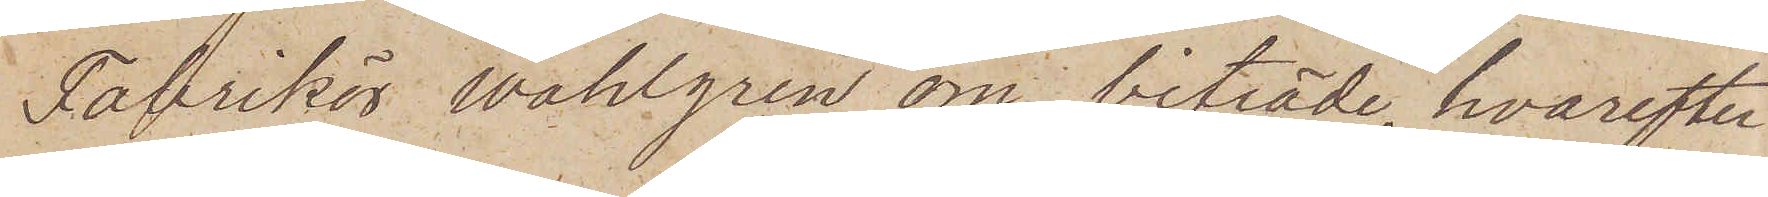Fabrikör Wahlgren om biträde, hvarefter
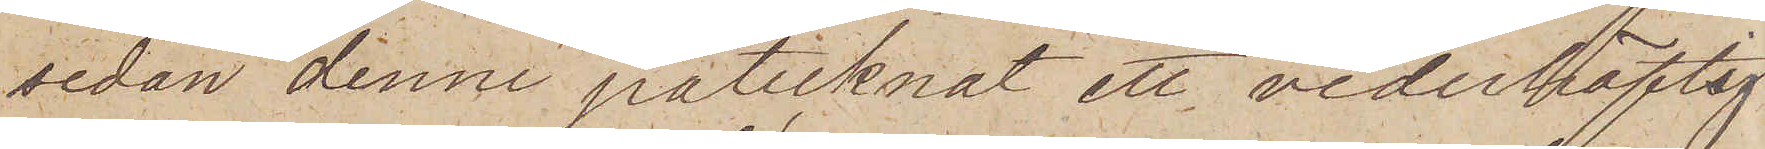sedan denne påtecknat ett vederhäftig¬
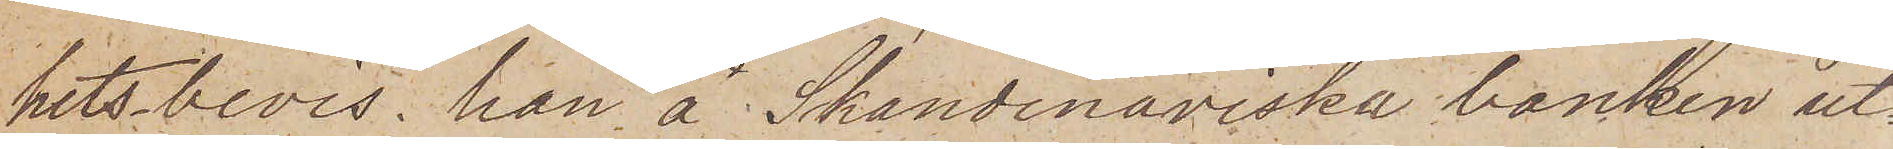hetsbevis, han å Skandinaviska banken ut¬
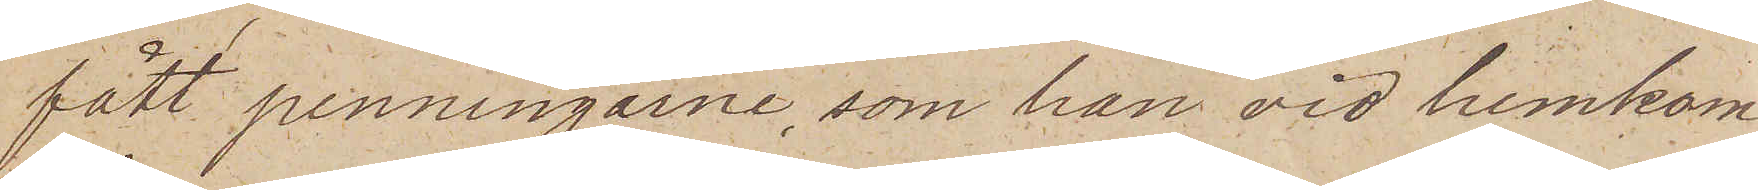fått penningarne, som han vid hemkom¬
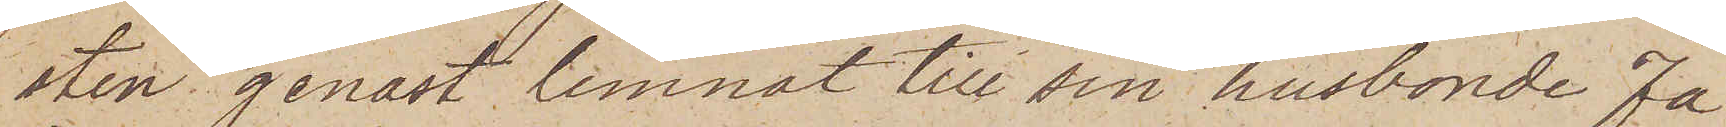sten genast lemnat till sin husbonde Fa¬
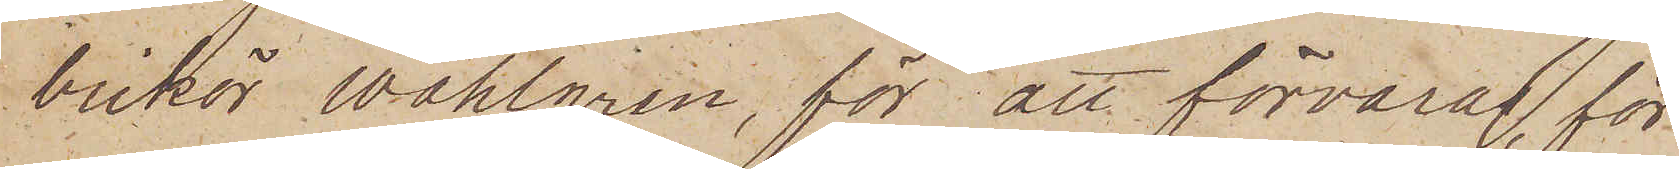brikör Wahlgren, för att förvaras, för
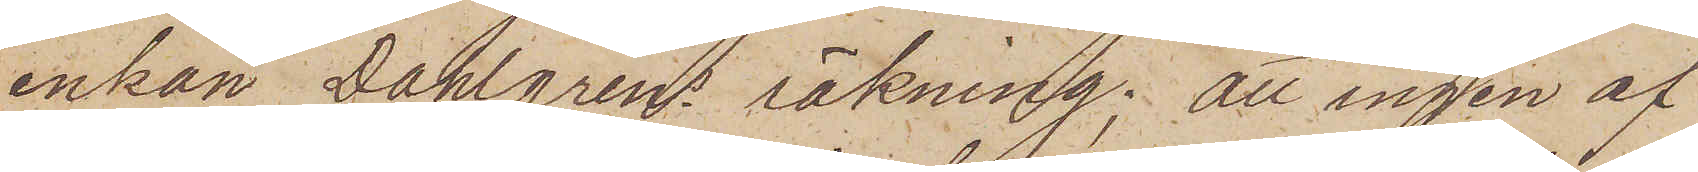enkan Dahlgrens räkning; att ingen af
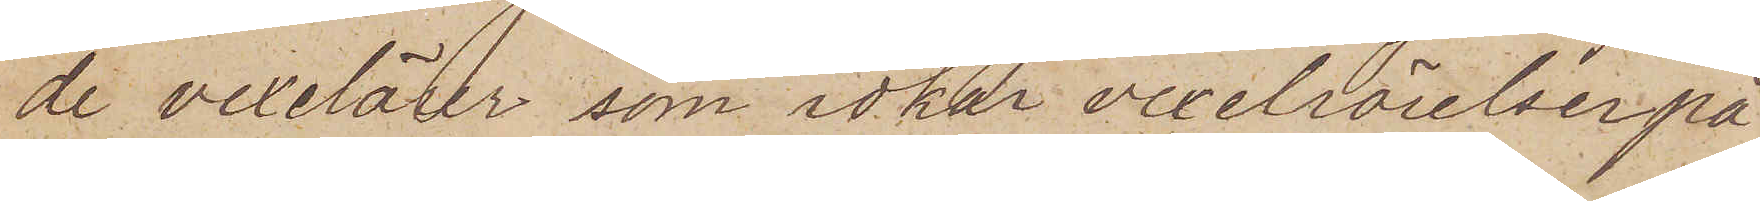de vexelärer, som idkar vexelrörelser på
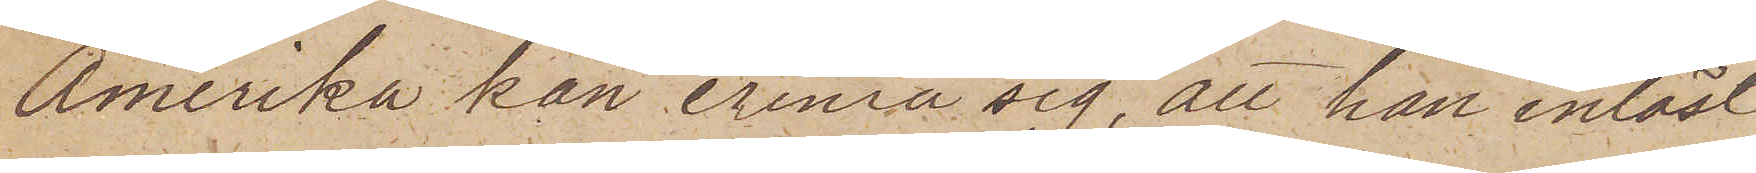Amerika kan erinra sig, att han inlöst
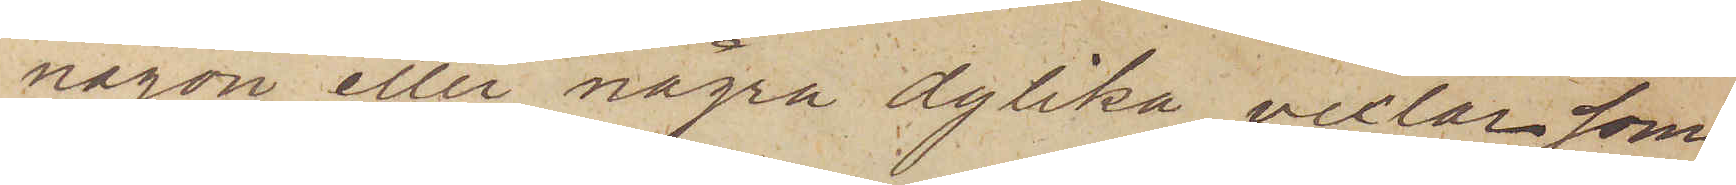någon eller några dylika vexlar som
